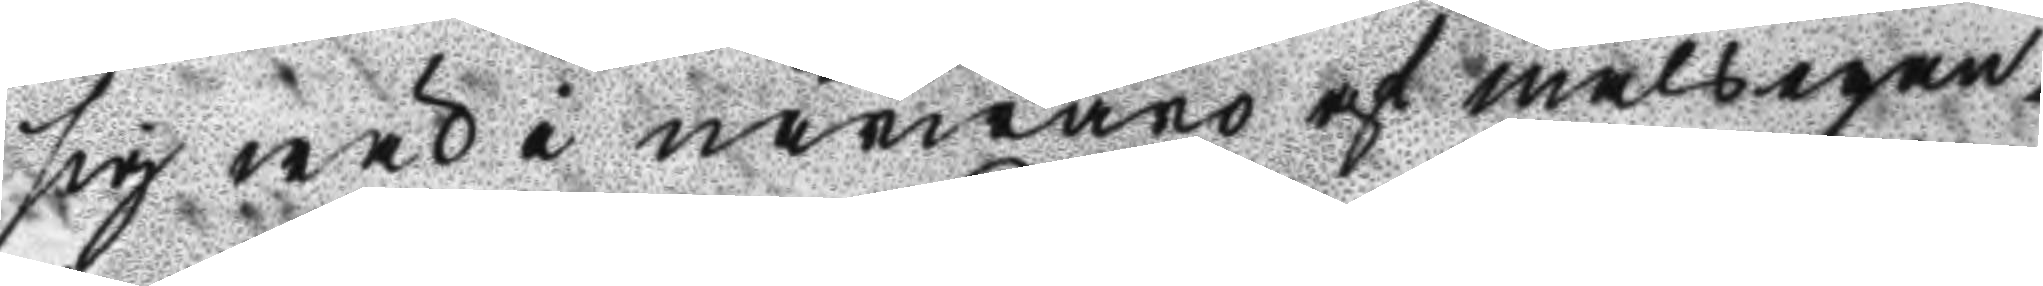sig wäl i närwaro af målsegan¬
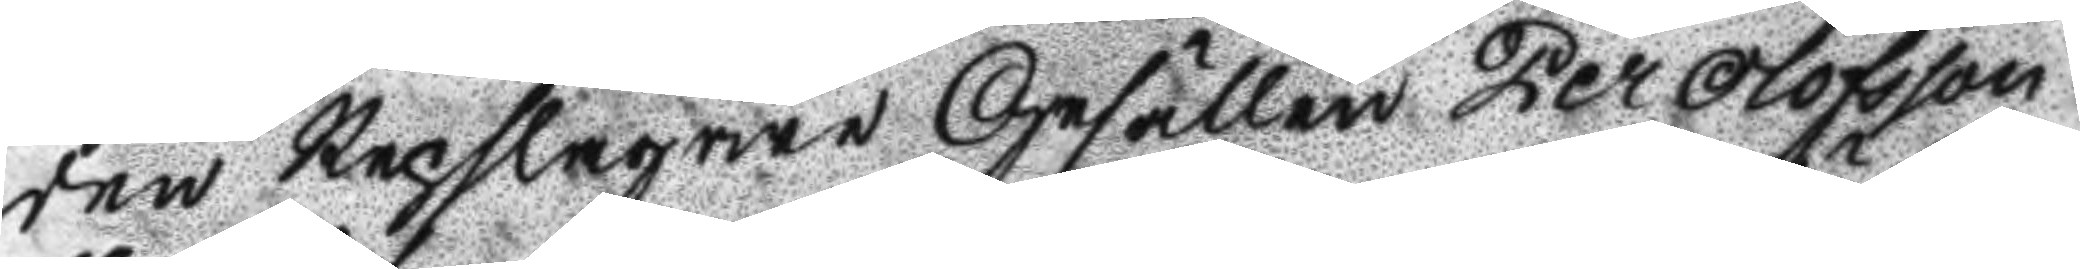den Repslagare Gesällen Per Olofsson
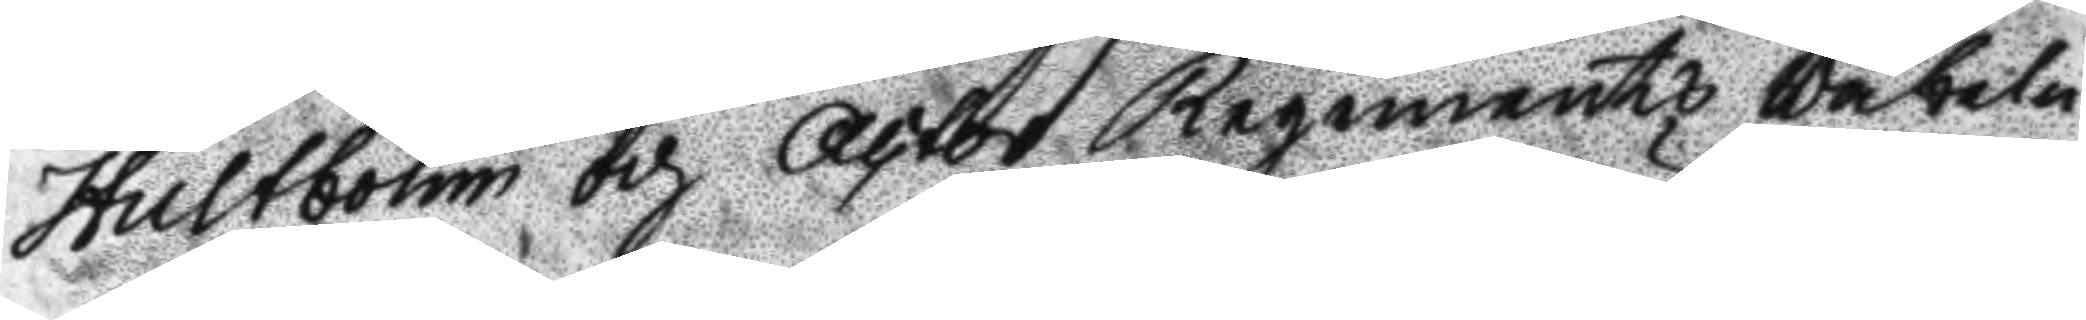Hultbohm och Actor Regements Väbeln
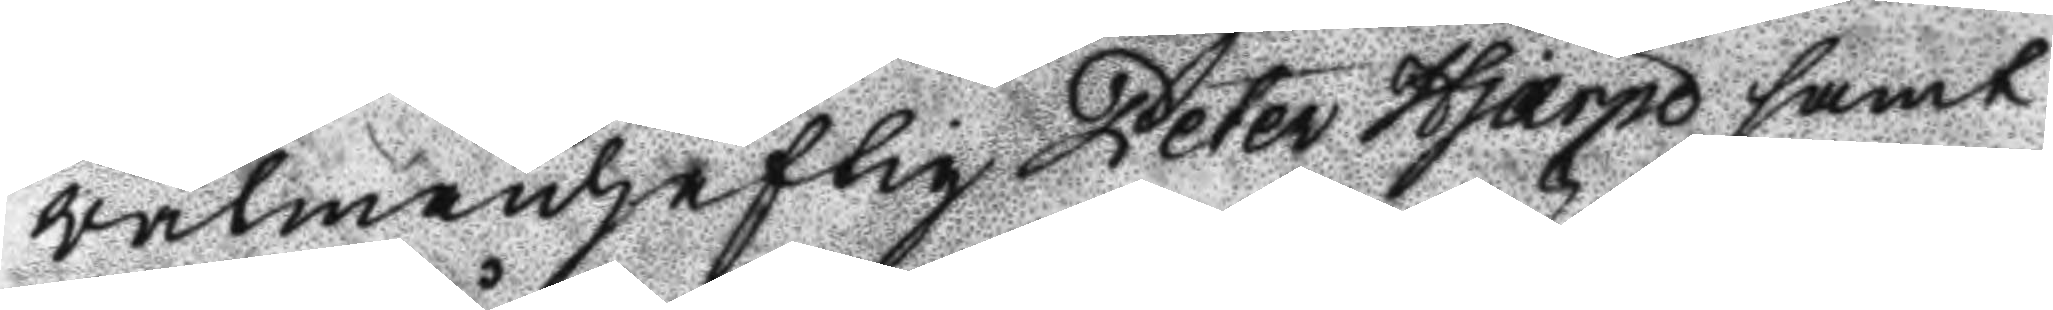wälmanhaftig Peter Hjärpe samt
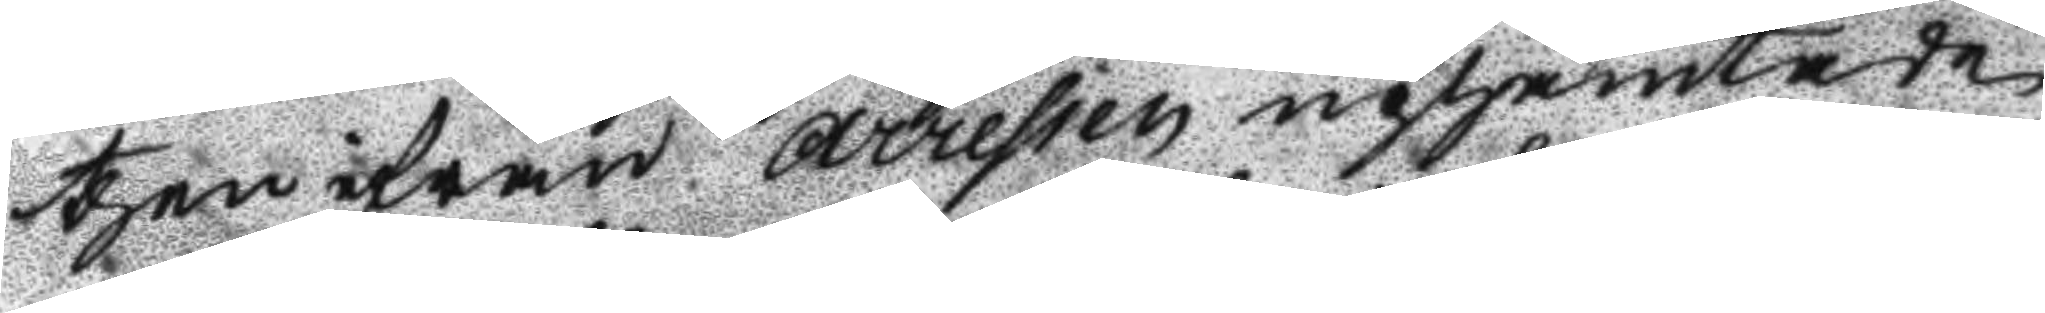ther ifrån Arresten uphämtade
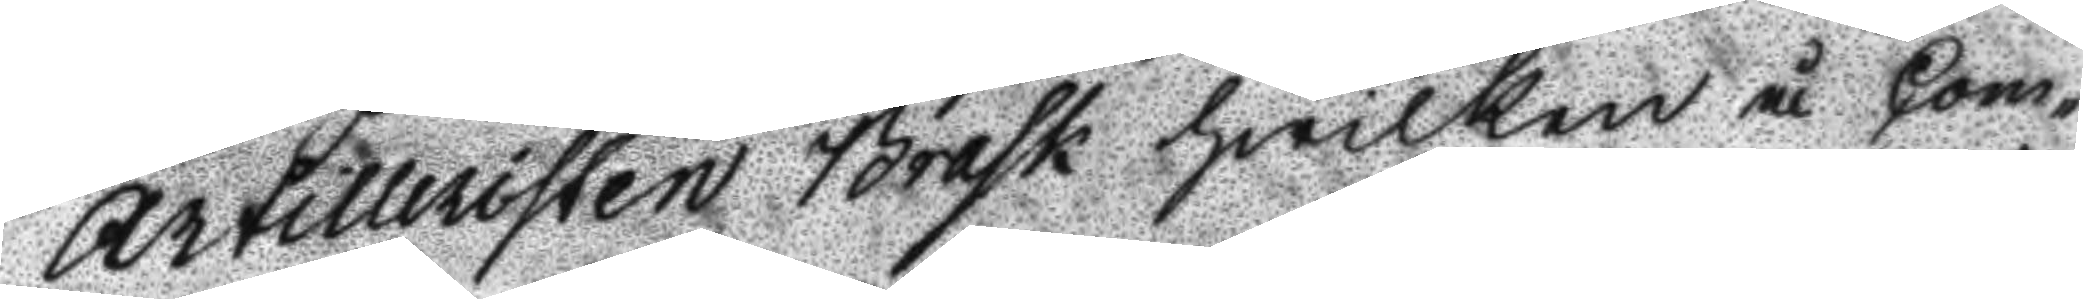Artilleristen Brask hwilken å Com¬
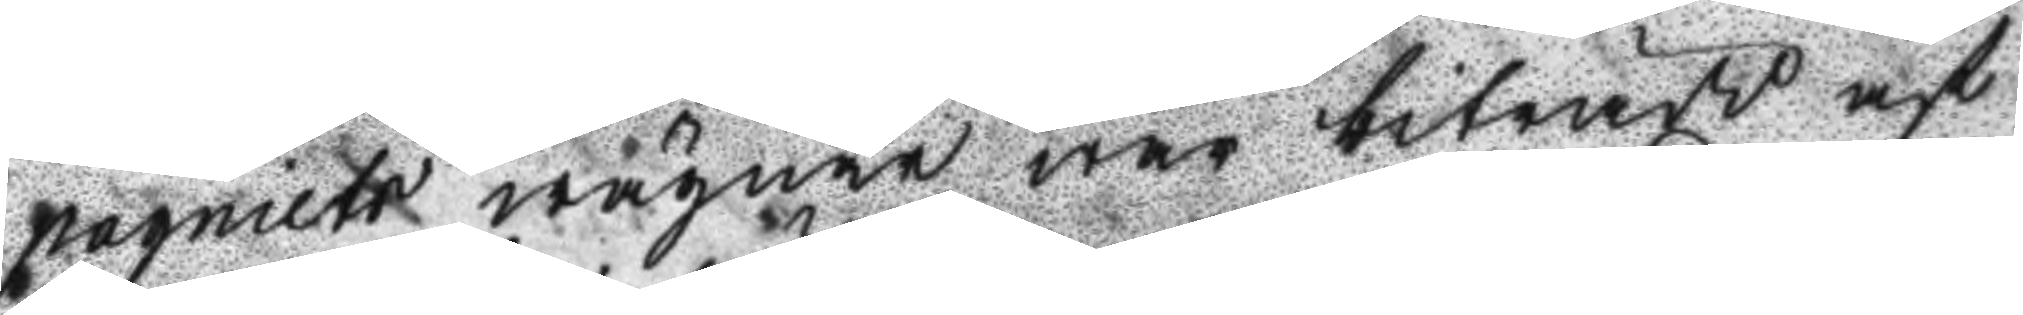pagniets wägnar war biträdd af
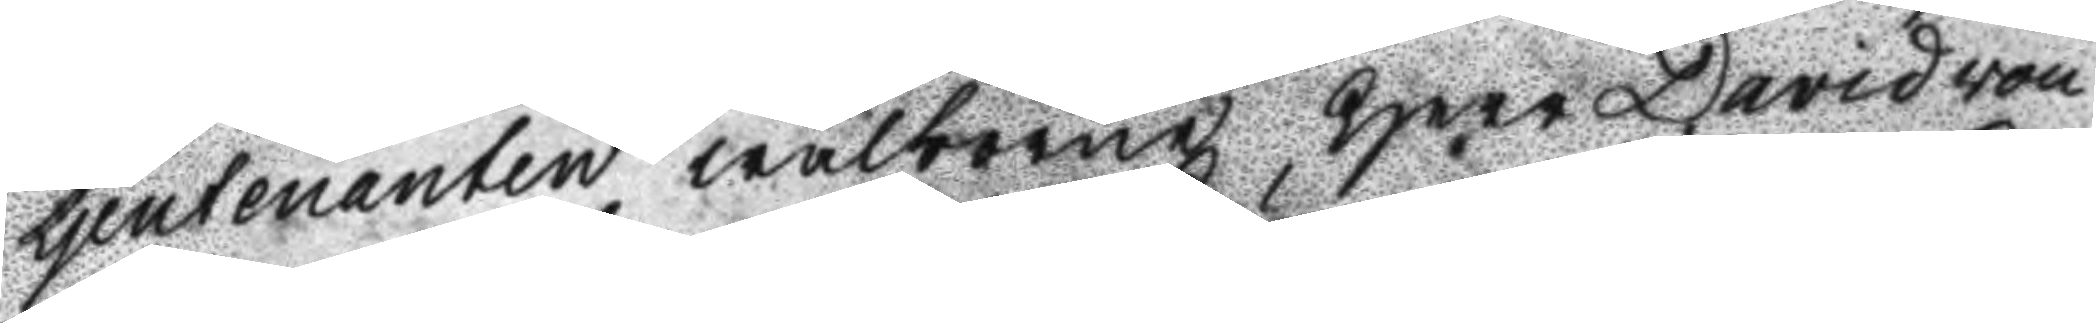Ljeutenanten wälborne Herr David von
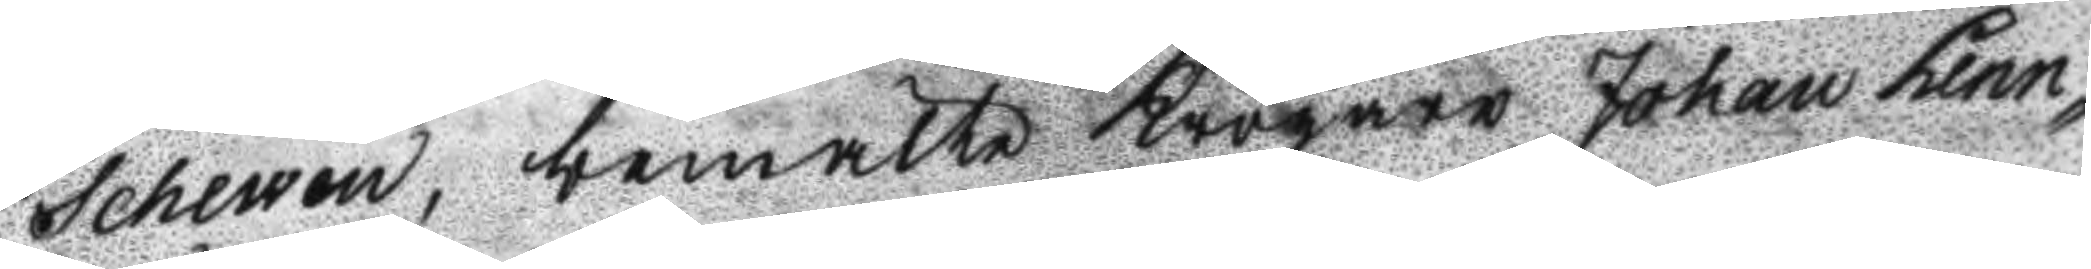Schewen, bemälte Krögare Johan Lenn¬
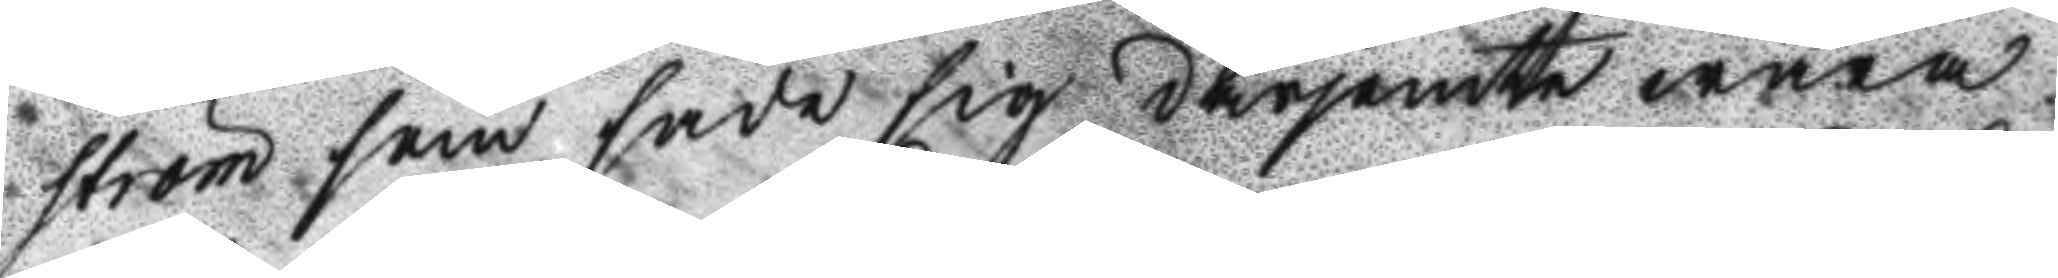ström som sade sig därjemte wara
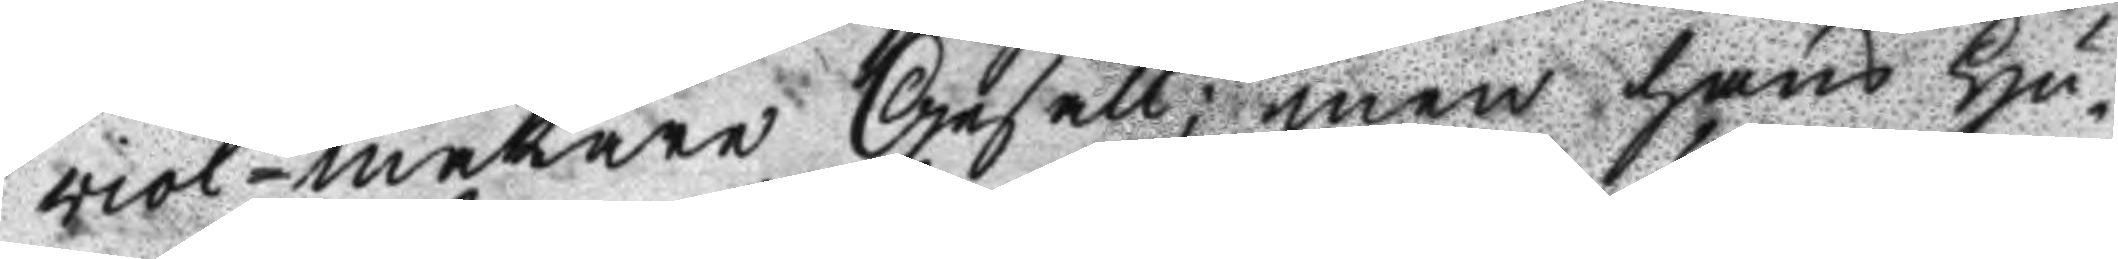viol-makare Gesäll; men hans Hu¬
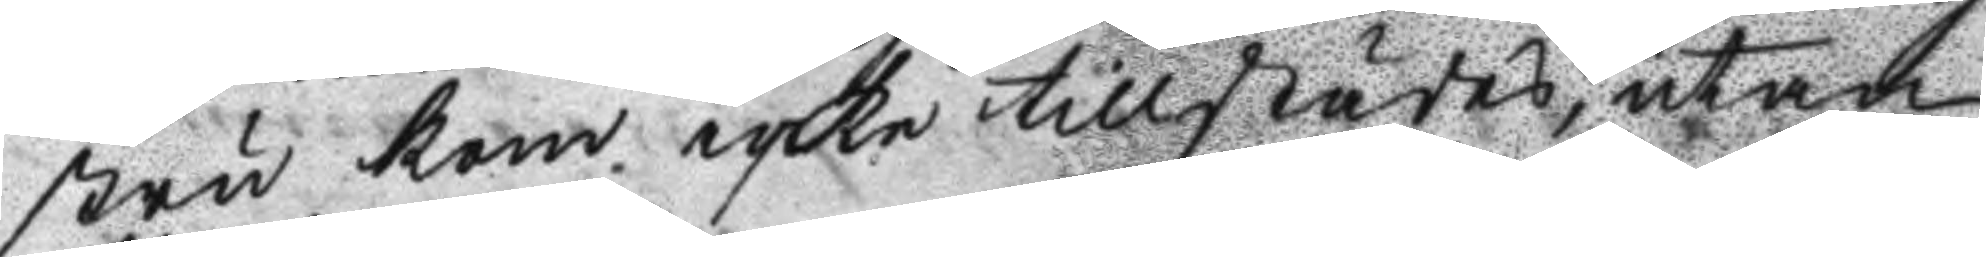stru kom icke tillstädes, utan
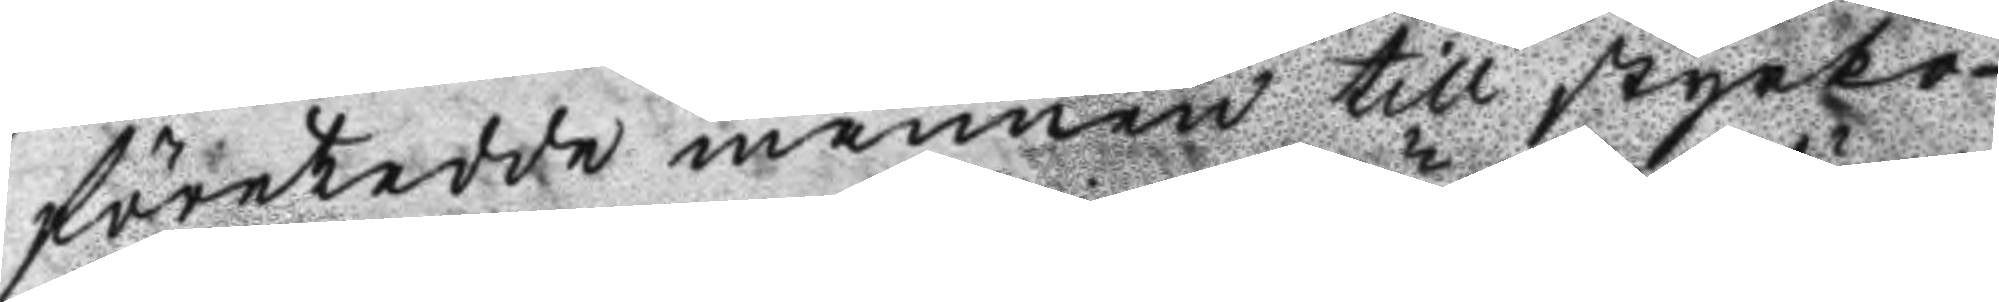företedde mannen still styrko
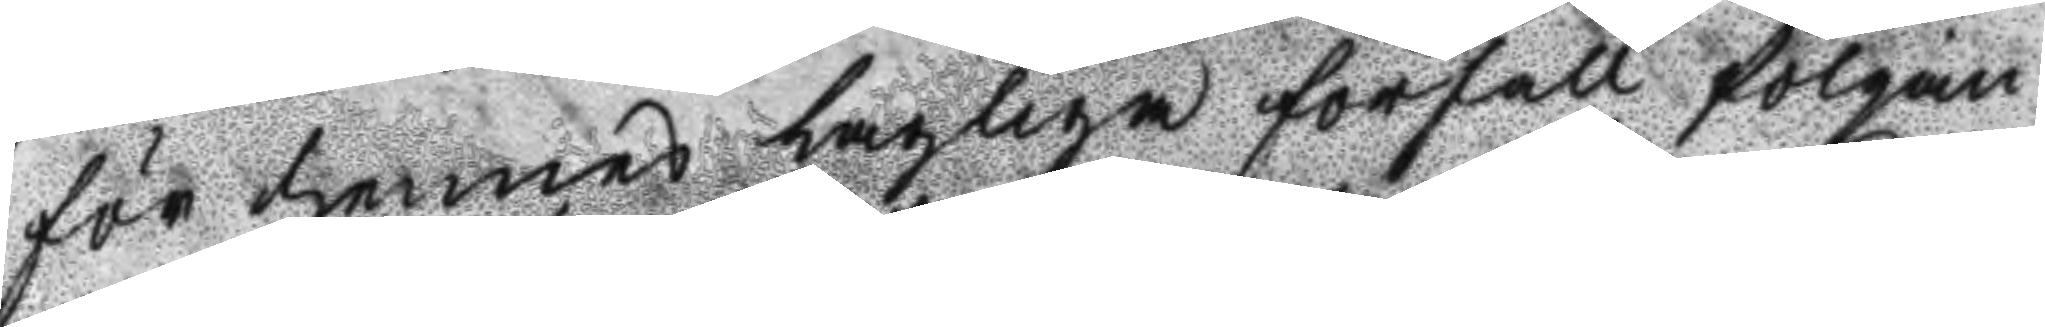för hennes lagliga förfall fölgan¬
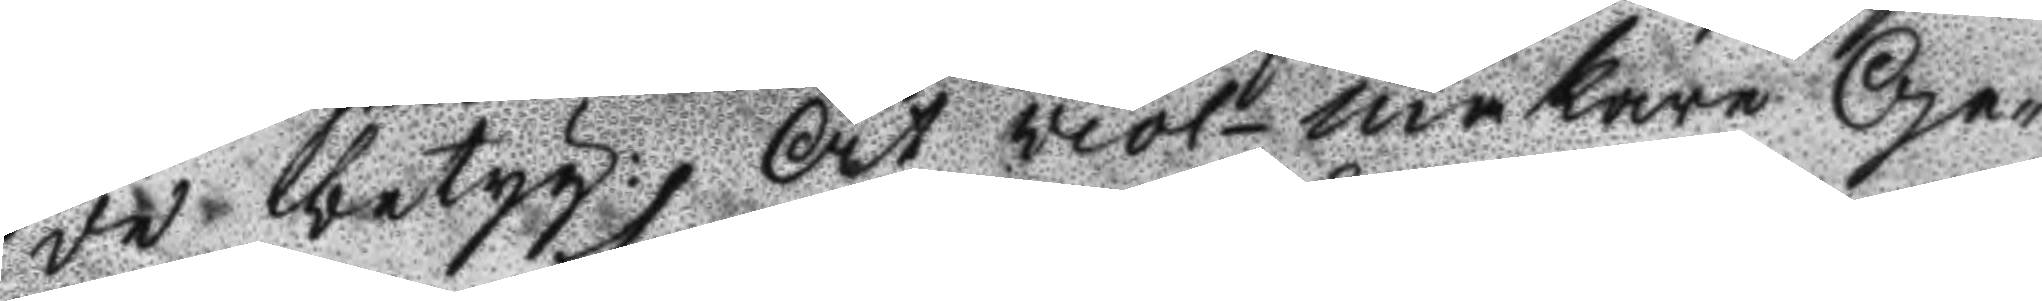de betyg: At viol- makare Ge¬
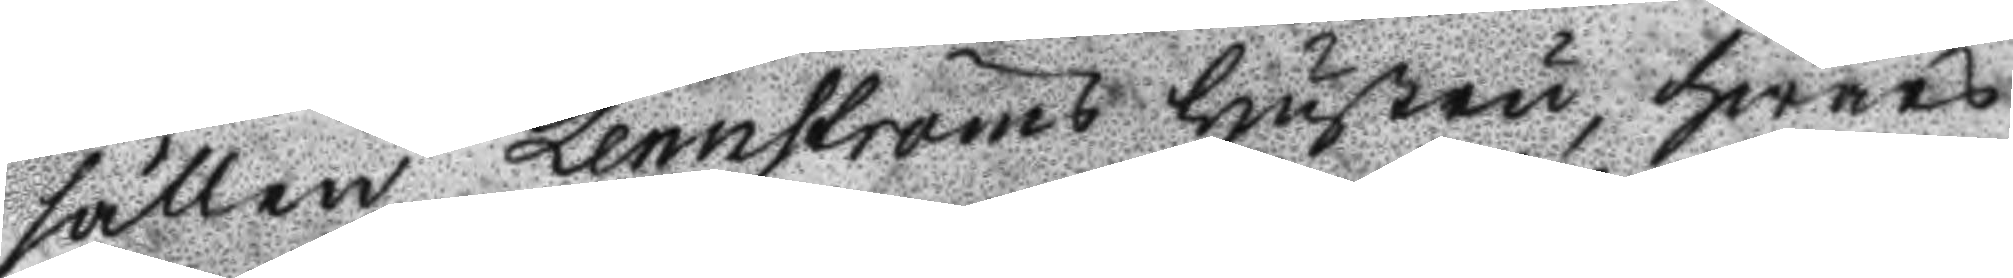sällen Lennströms Hustru, hwars
